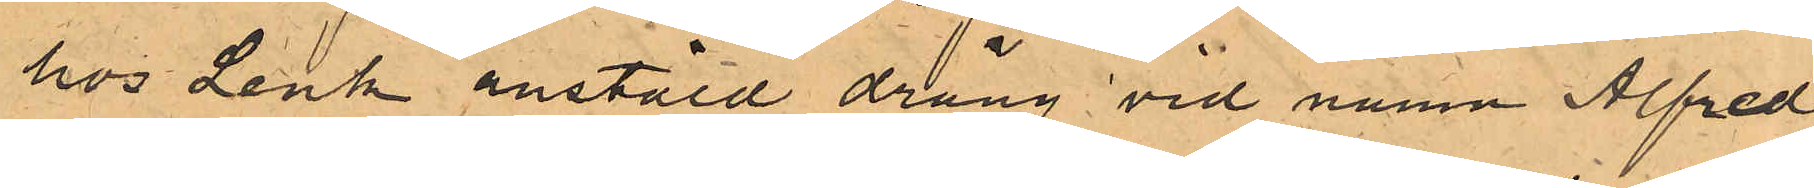hos Lenk anstäld dräng vid numn Alfred
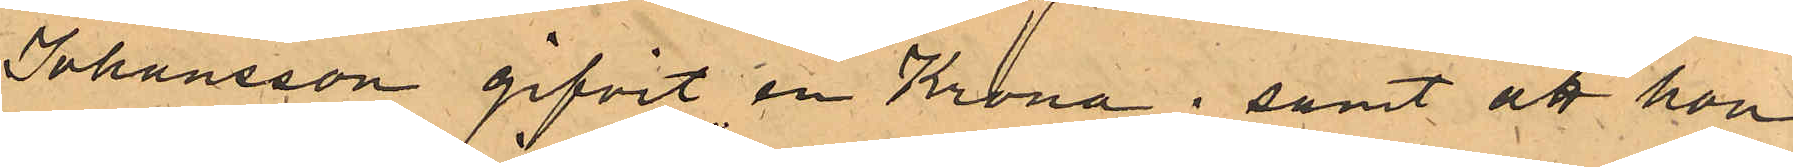Johansson gifvit en Krona; samt att hon
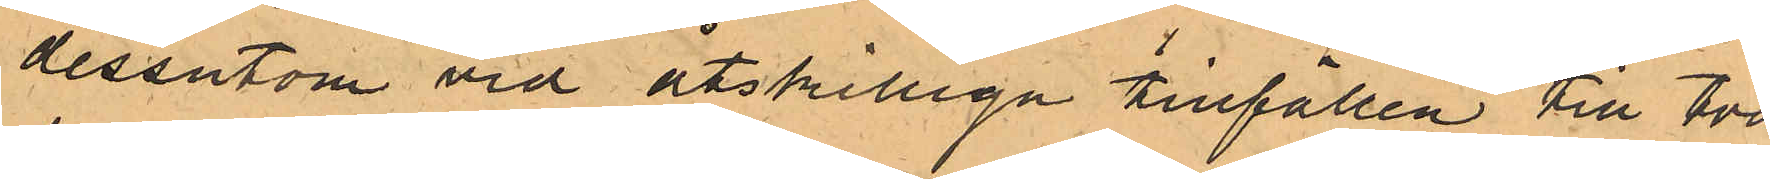dessutom vid åtskilliga tillfällen till två
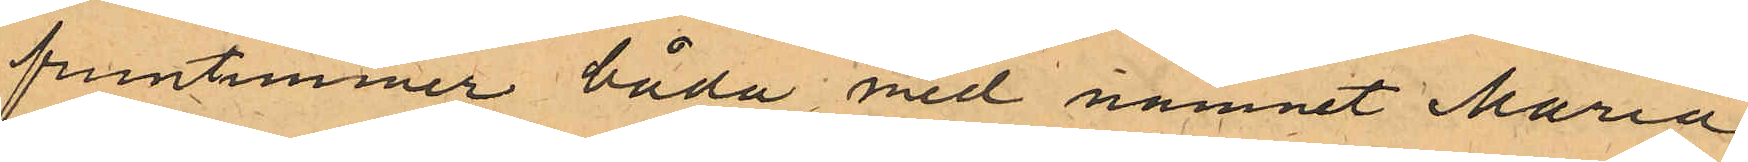fruntimmer båda med namnet Maria,
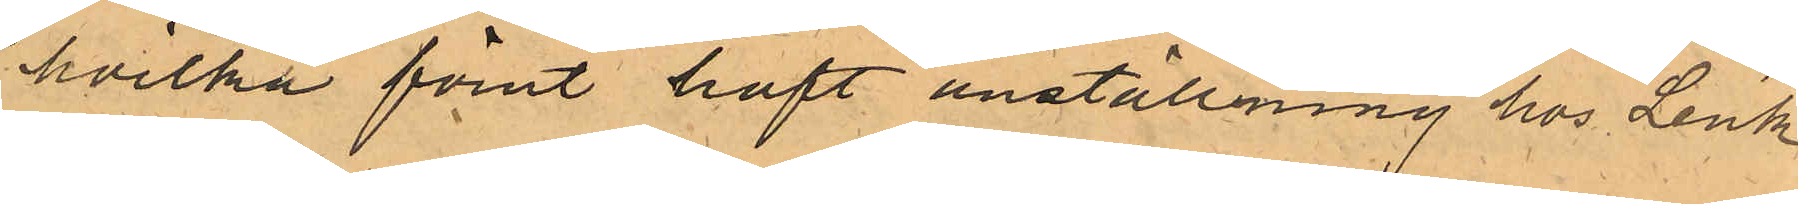hvilka förut haft anställning hos Lenk
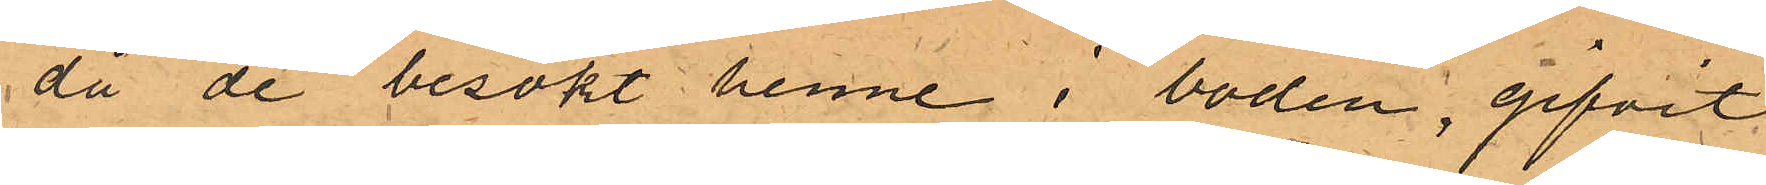då de besökt henne i boden, gifvit
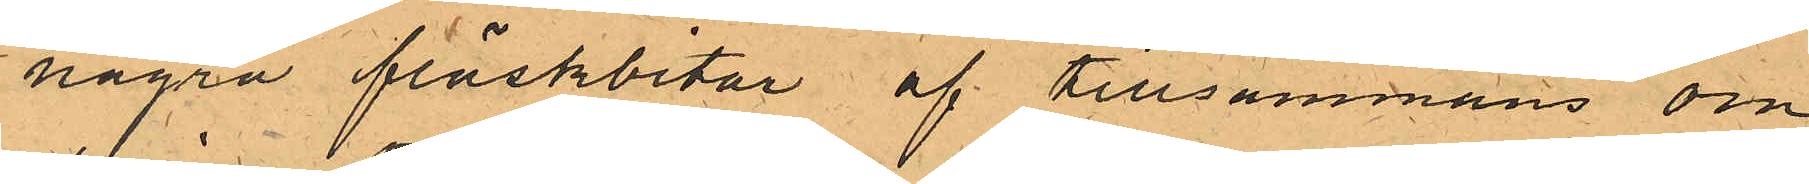några fläskbitar af tillsammans om¬
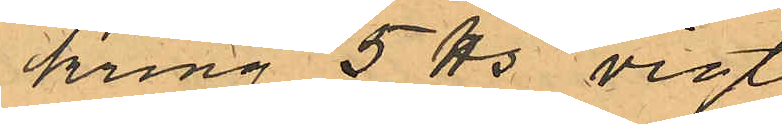kring 5 ℔s vigt.
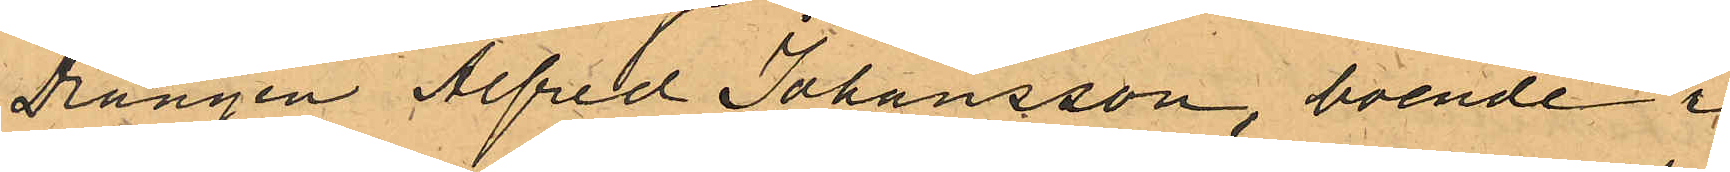Drängen Alfred Johansson, boende i
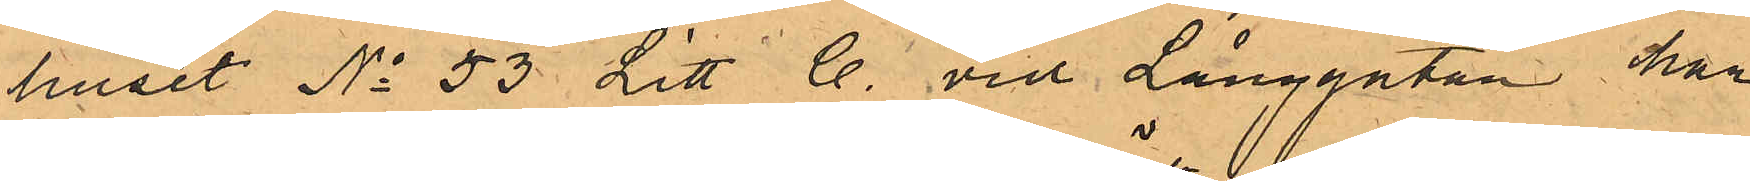huset No 53 Litt C. vid Långgatan har
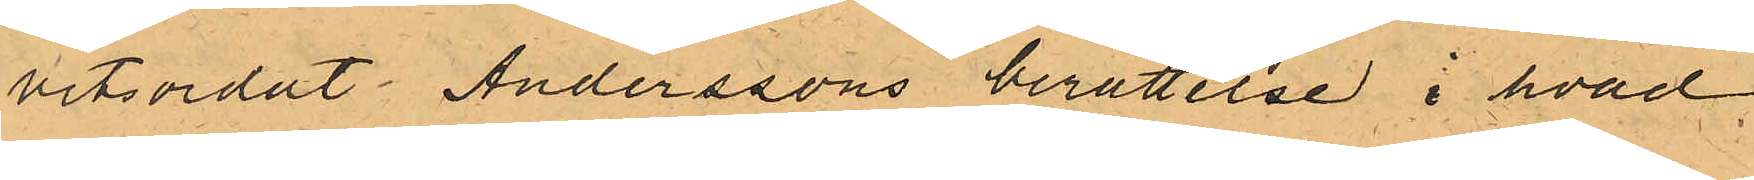vitsordat Anderssons berättelse i hvad
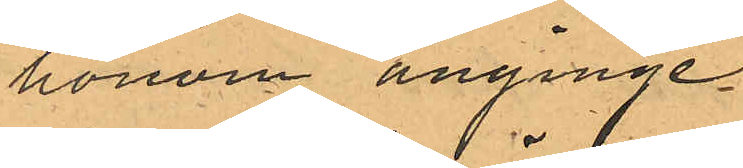honom anginge.
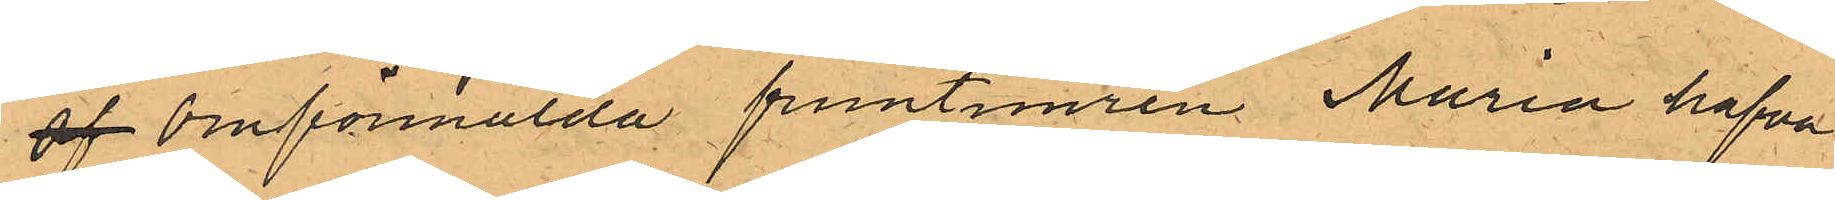af Omförmälda fruntimren Maria hafva
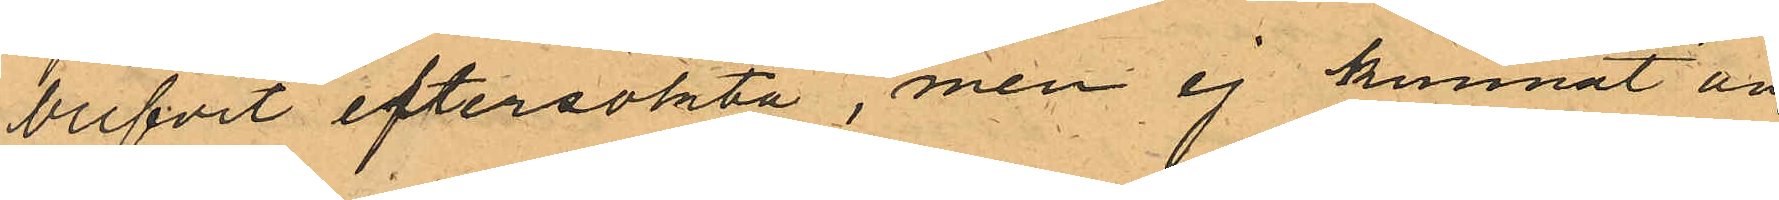blifvit eftersökta, men ej kunnat an¬
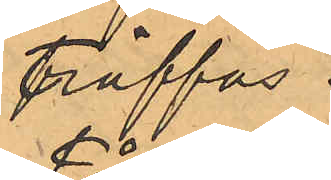träffas.
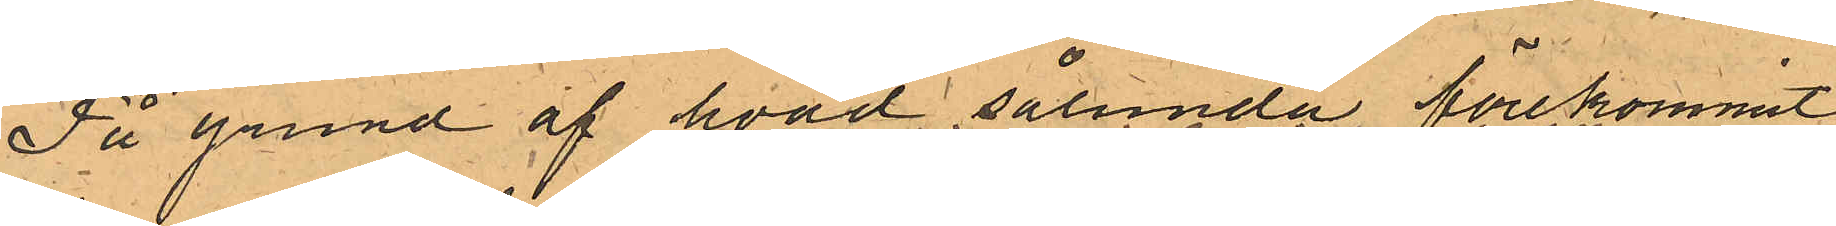På grund af hvad sålunda förekommit
